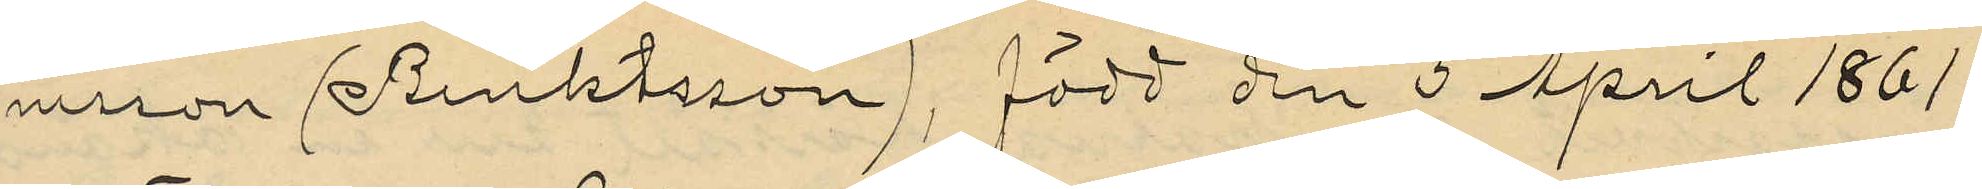nesson (Benktsson), född den 5 April 1861
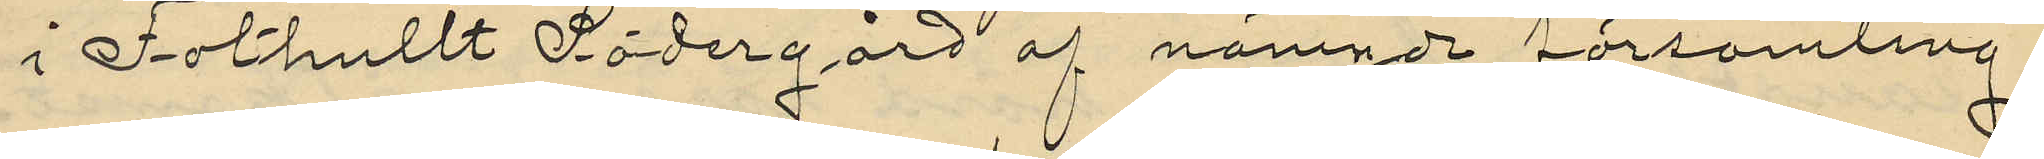i Fothullt Södergård af nämnde församling.
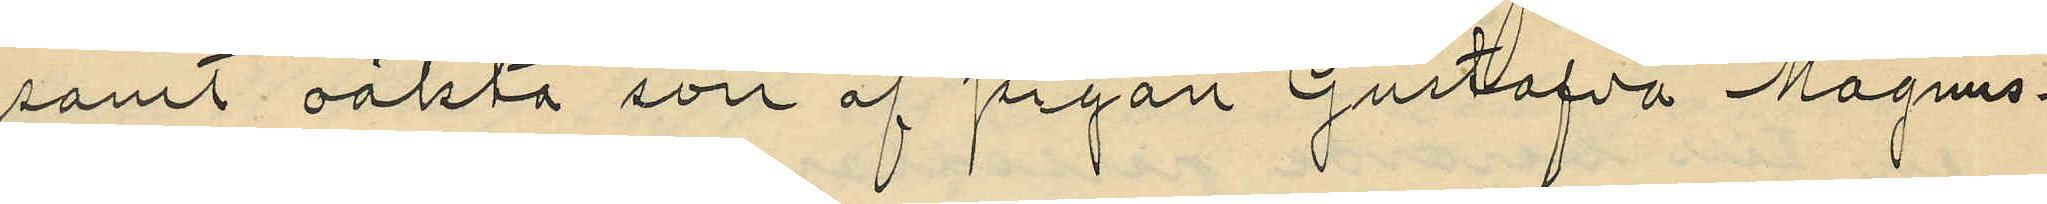samt oäkta son af pigan Gustafva Magnus¬
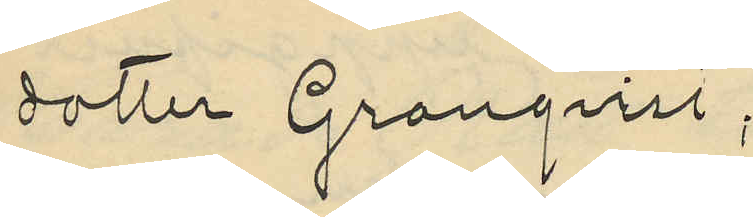dotter Granqvist;
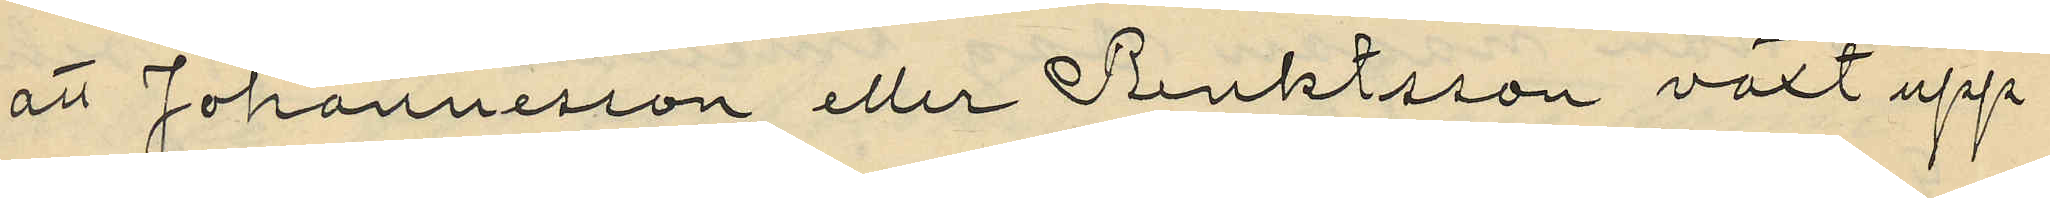att Johannesson eller Benktsson växt upp
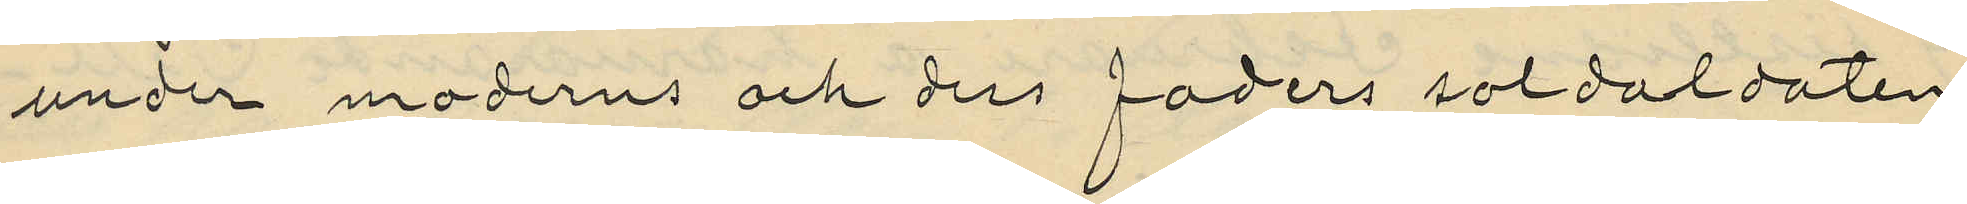under moderns och dess faders soldaldaten
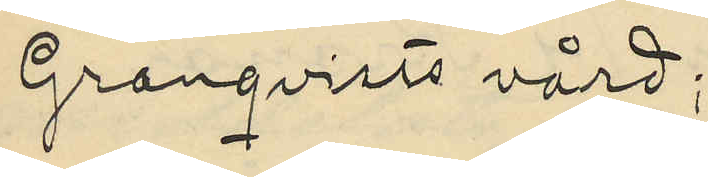Granqvists vård;
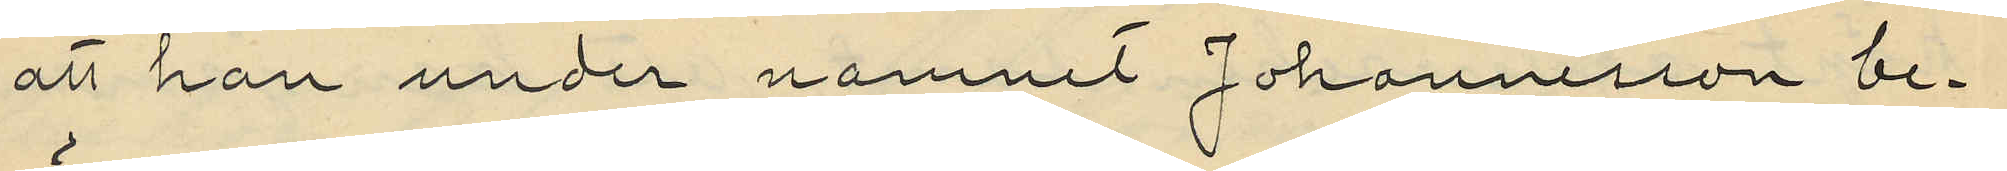att han under namnet Johannesson be¬
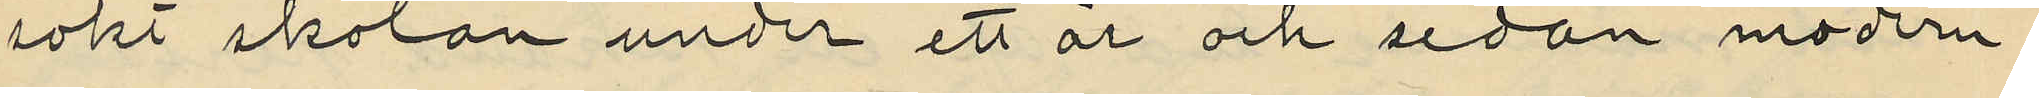sökt skolan under ett år och sedan modern
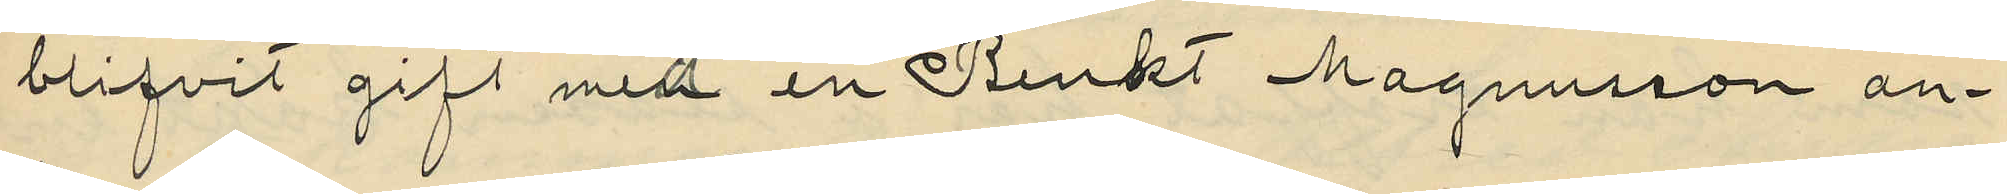blifvit gift med en Benkt Magnusson an¬
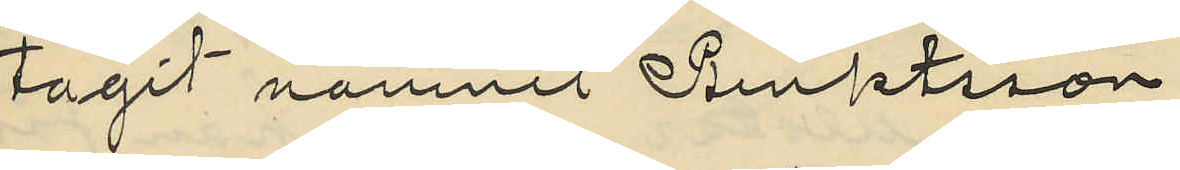tagit namnet Benktsson
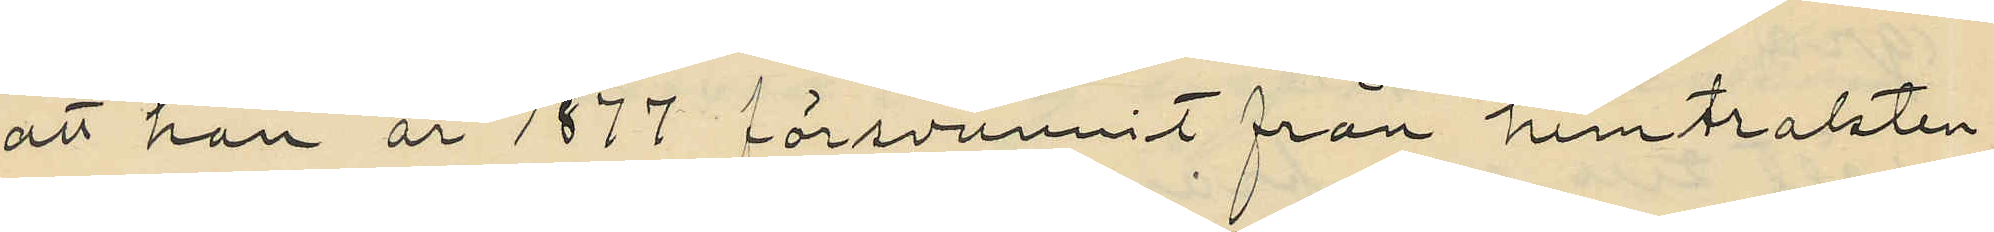att han år 1877 försvunnit från hemtrakten
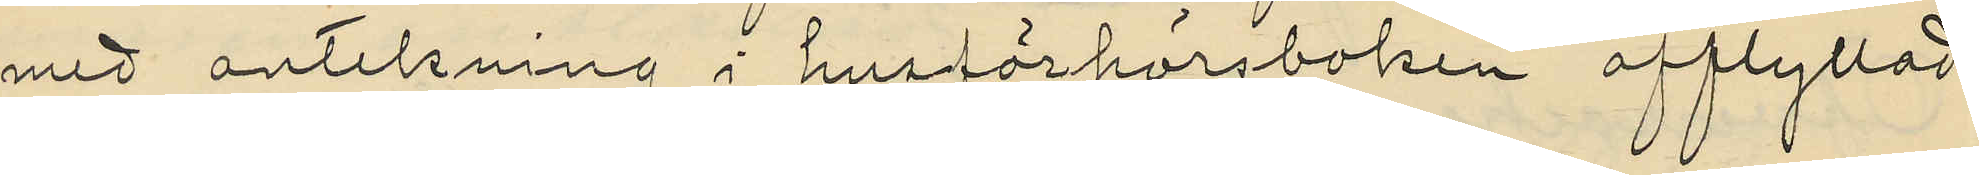med antekning i husförhörsboken "afflyttad
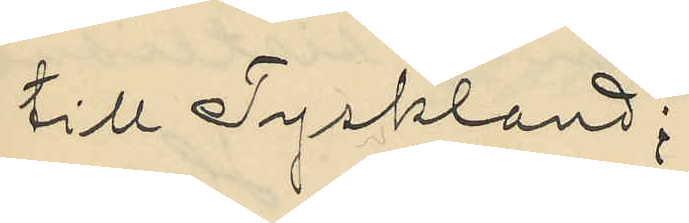till Tyskland";
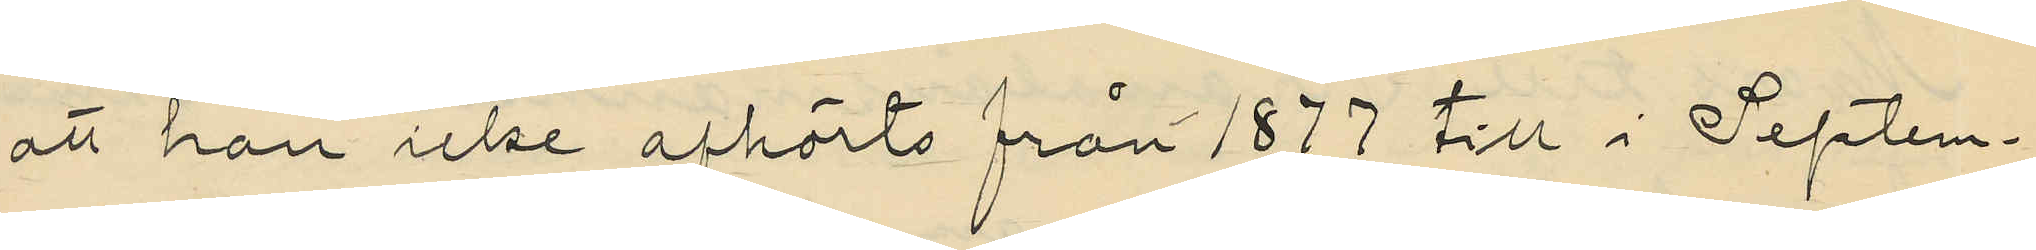att han icke afhörts från 1877 till i Septem¬
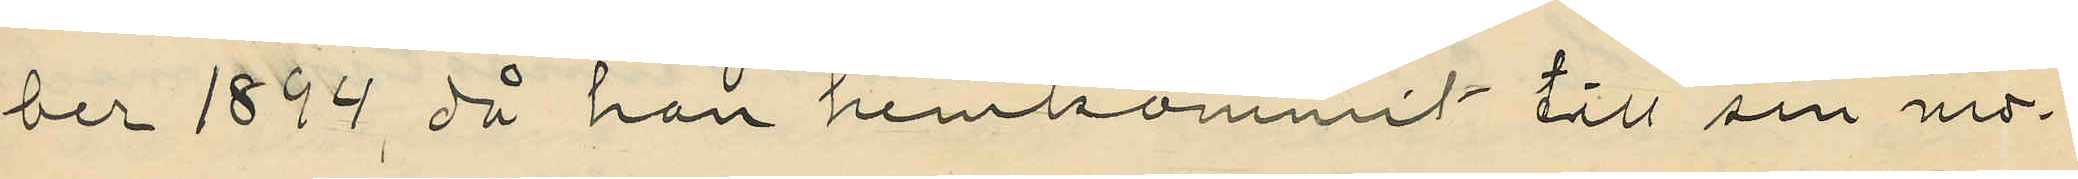ber 1894 då han hemkommit till sin mo¬
